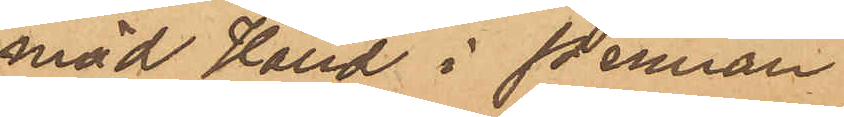mäd Hand i pennan
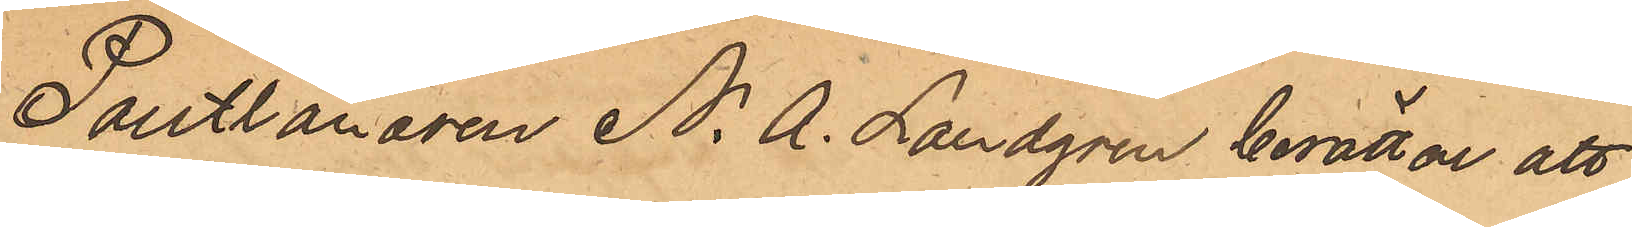Pantlånaren N. A. Landgren berättar att
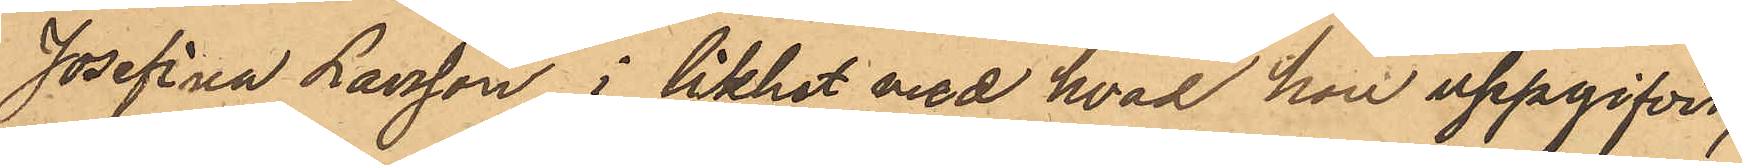Josefina Larsson, i likhet vid hvad hon uppgifvit,
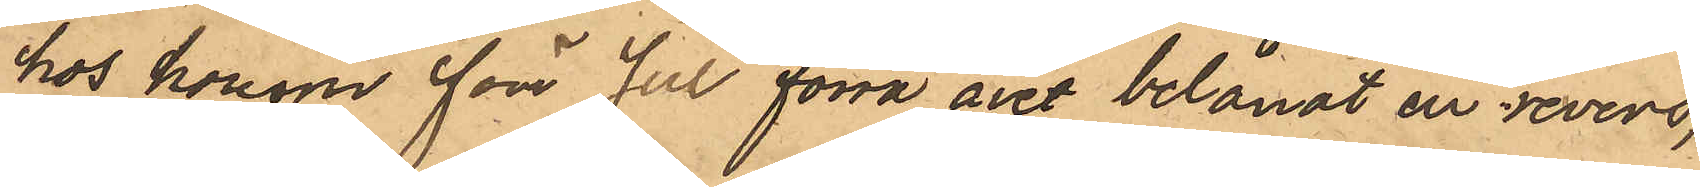hos honom före jul förra året belånat en revers,
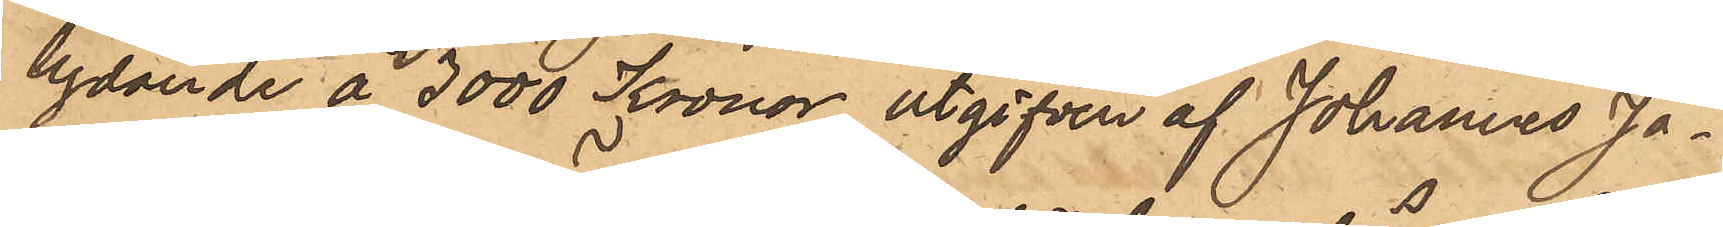lydande å 3000 Kronor utgifven af Johannes Jo¬
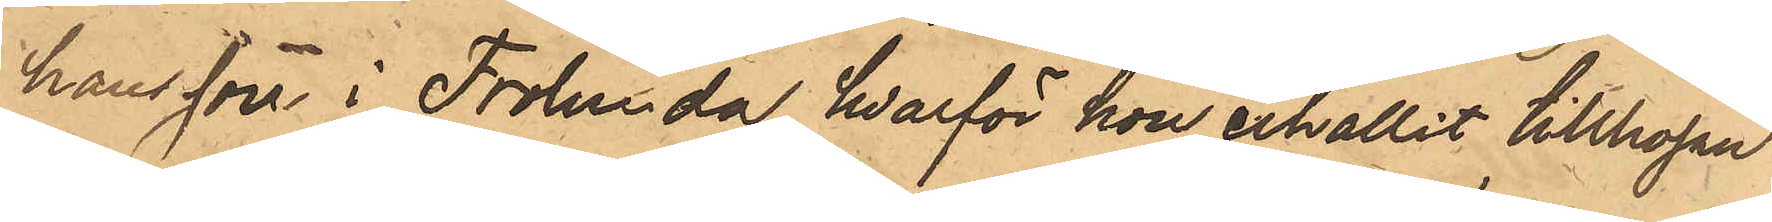hansson i Frölunda, hvarför hon erhållit tillhopa
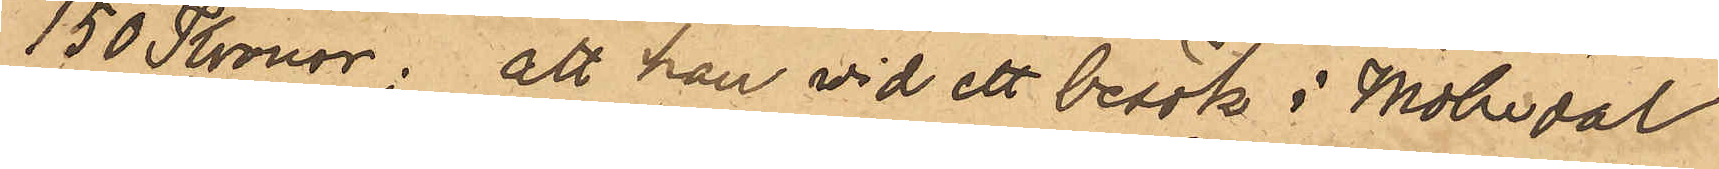150 Kronor; att han vid ett besök i Mölndal
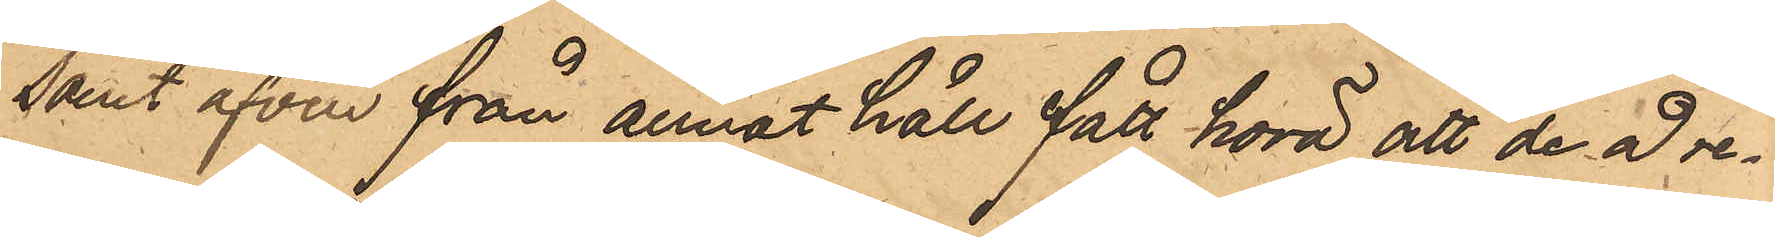samt äfven från annat håll fått höra, att de af re¬
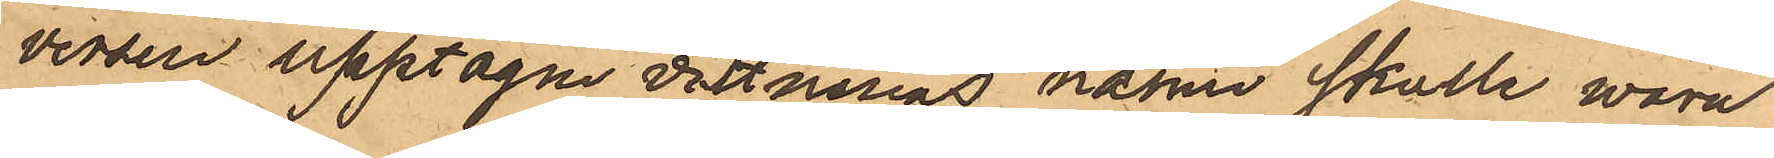versen upptagne vittnenas namn skulle vara
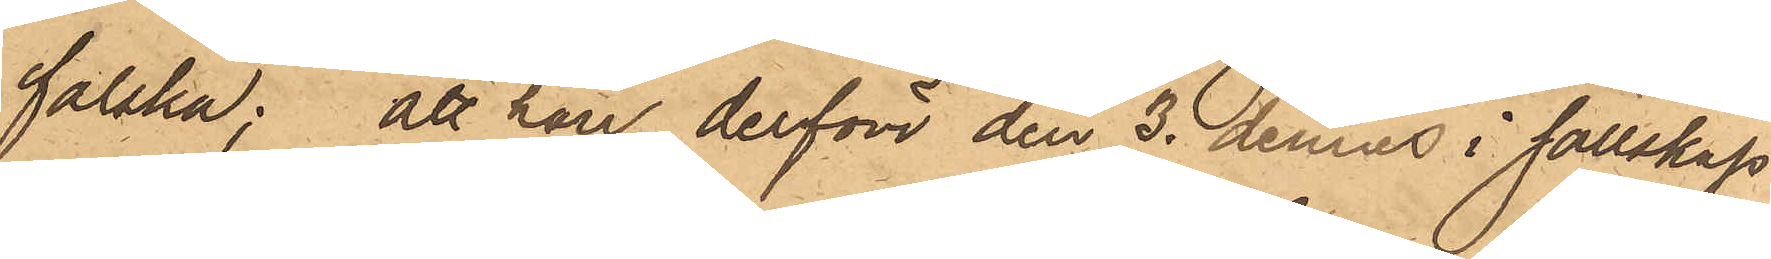falska; att han derför den 3 dennes i sällskap
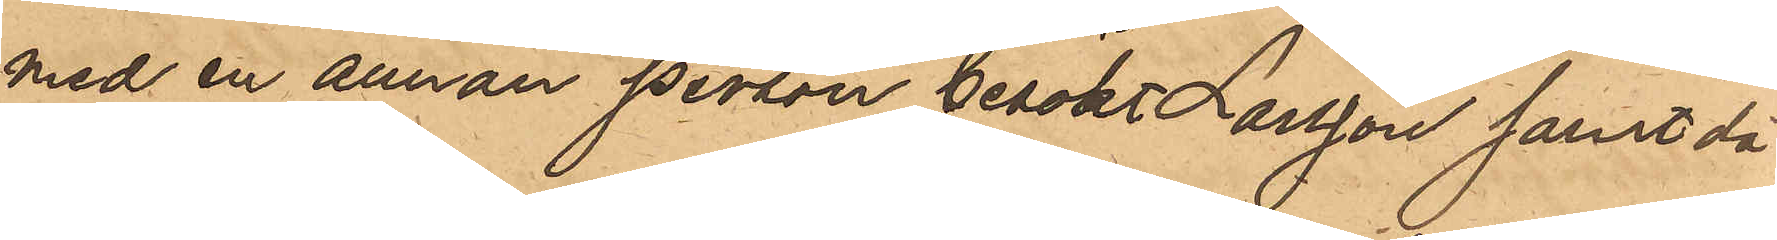med en annan person besökt Larsson samt då
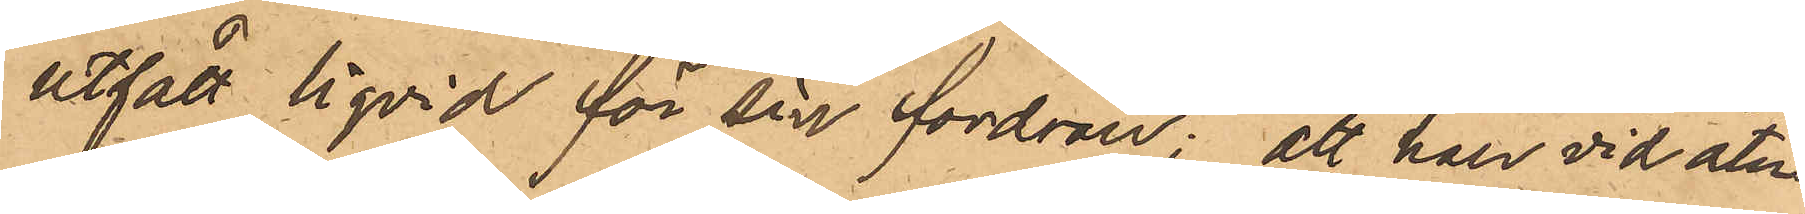utfått liqvid för sin fordran; att han vid åter¬
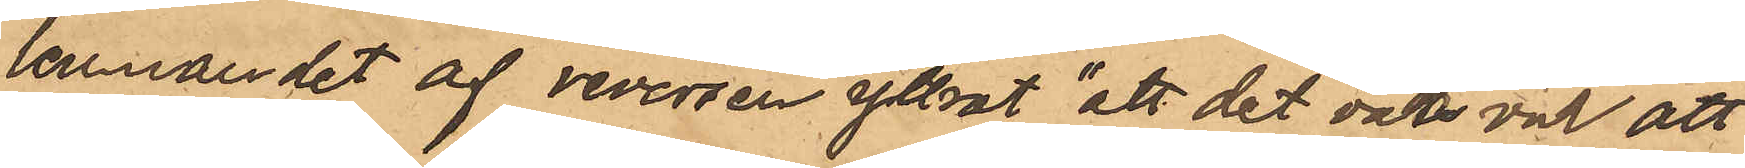lemnandet af reversen yttrat att det var väl att
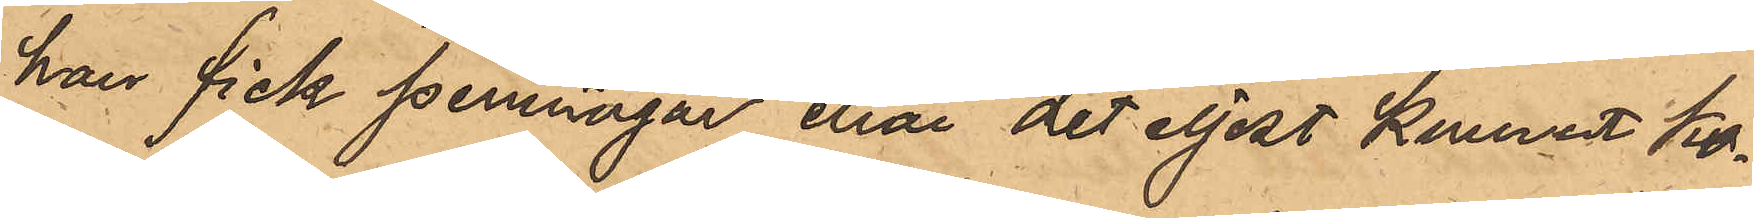han fick penningar, enär det eljest kunnat ko¬
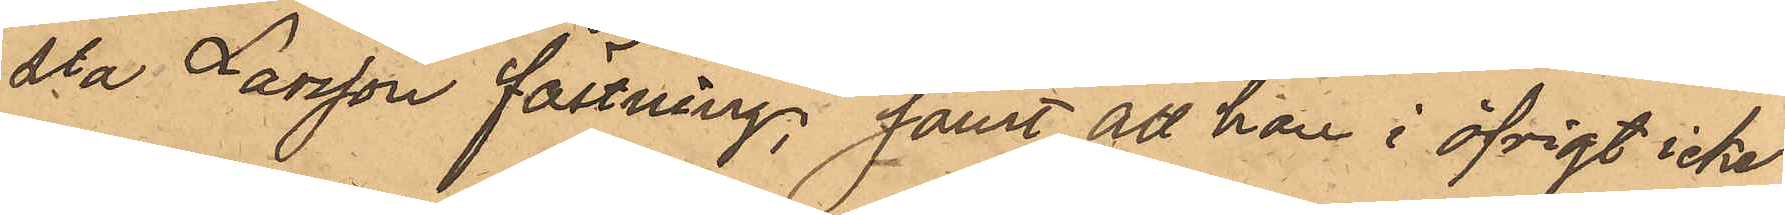sta Larsson fästning, samt att han i öfrigt icke
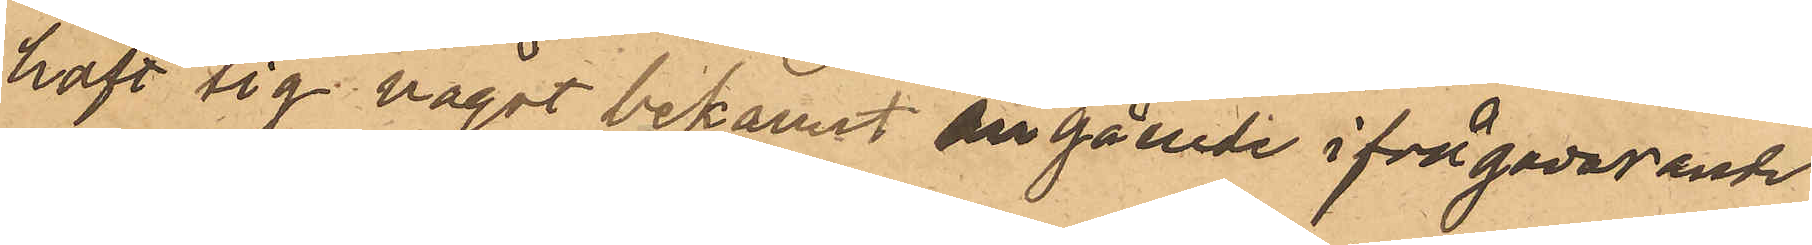haft sig något bekant angående ifrågavarande
